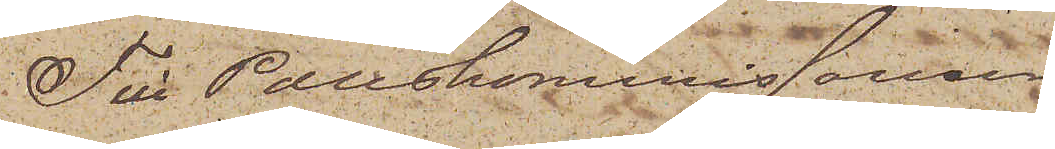Till Poliskommissarien
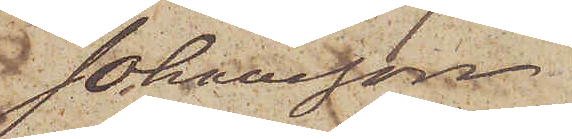 Johansson.
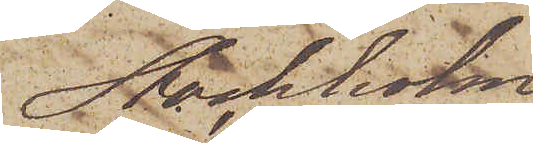Stockholm
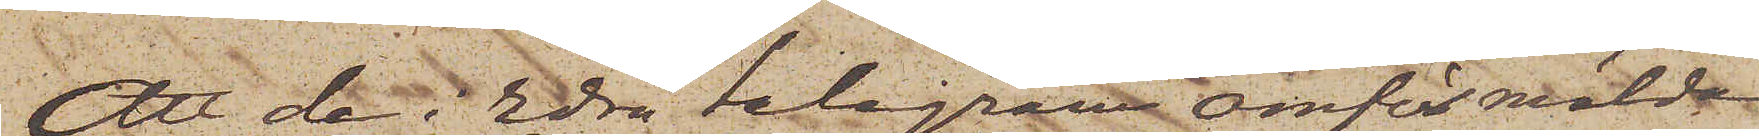Att de i Edra telegram omförmälda
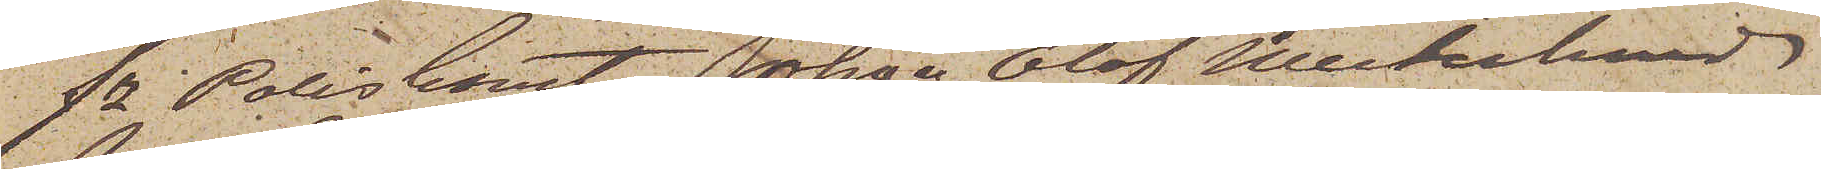fe Poliskonst Johan Olof Westerlund
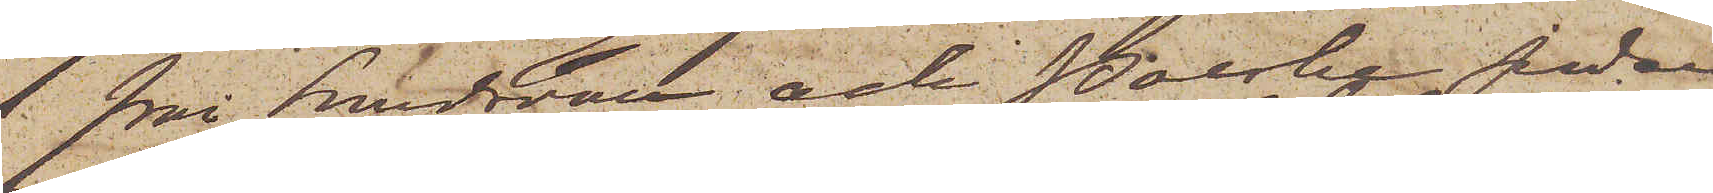från Sundsvall och Polske Juden
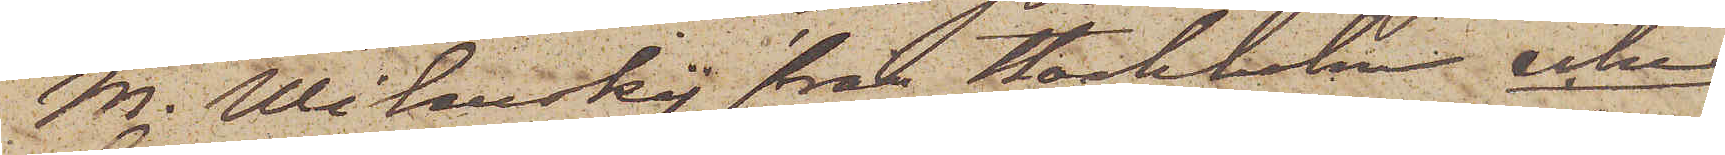M. Wilenskij från Stockholm icke
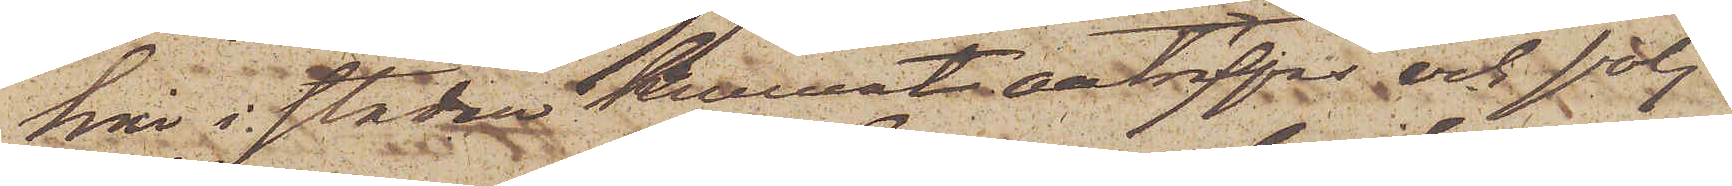här i staden kunnat anträffas och följ¬
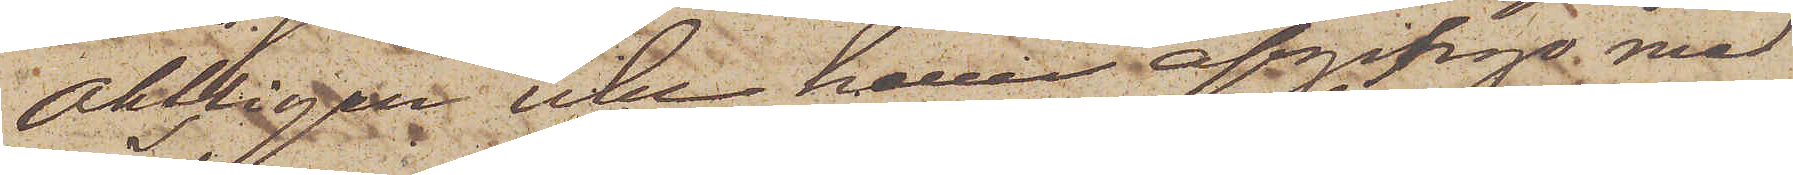aktligen icke heller afgingo med
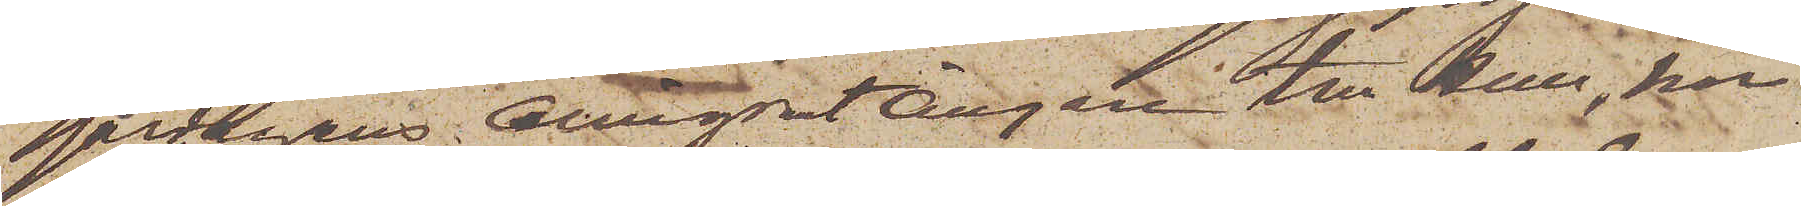gårdagens EmigrantÅngare till Hull, har
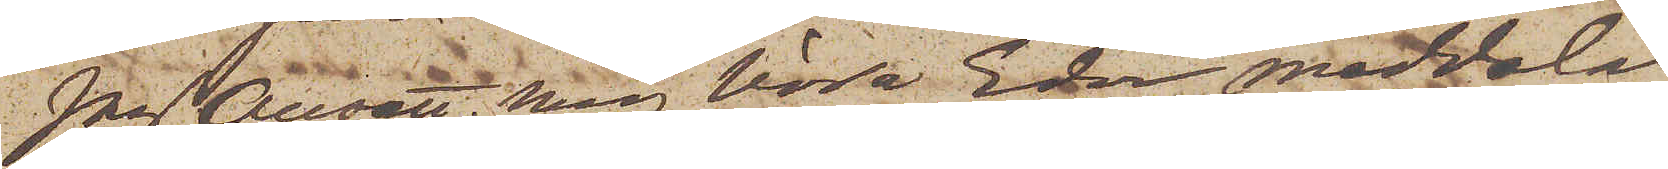Jag Ansett mig böra Eder meddela,
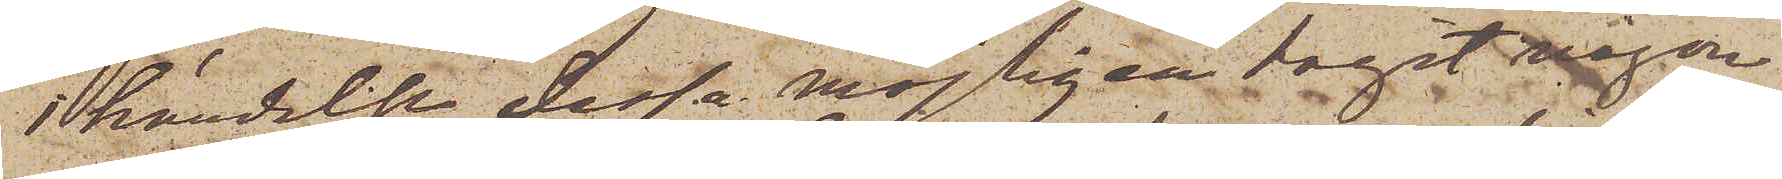i händelse dessa möjligen tagit någon
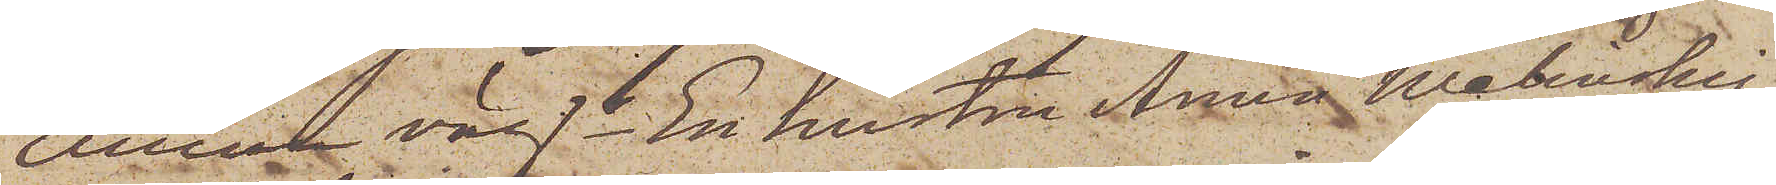annan väg.  En hustru Anna Walinskij
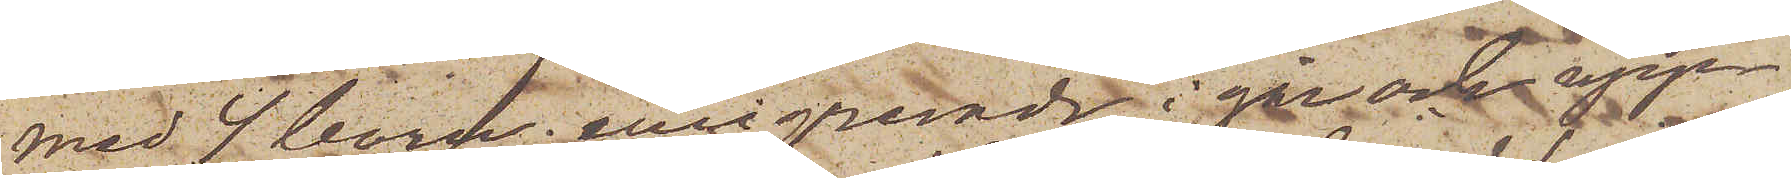med 4 barn emigrerade i går och upp¬
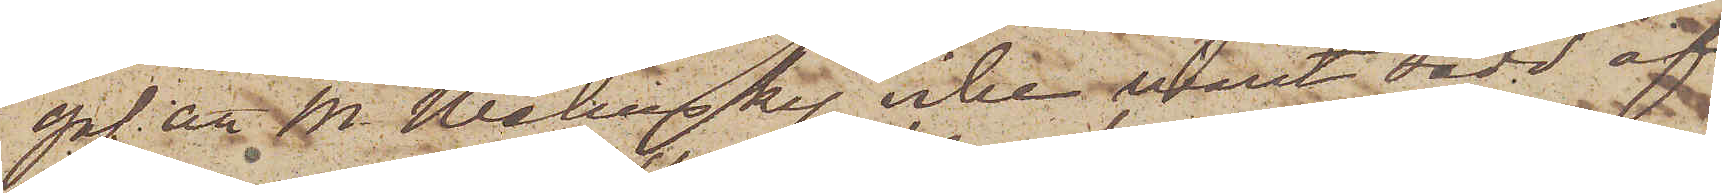gaf att M. Walinsky, icke varit sedd af
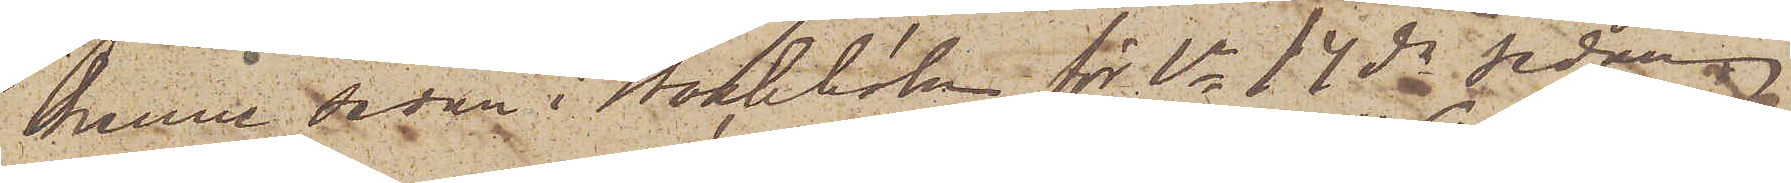henne sedan i Stockholm för ca 14 dr sedan.
